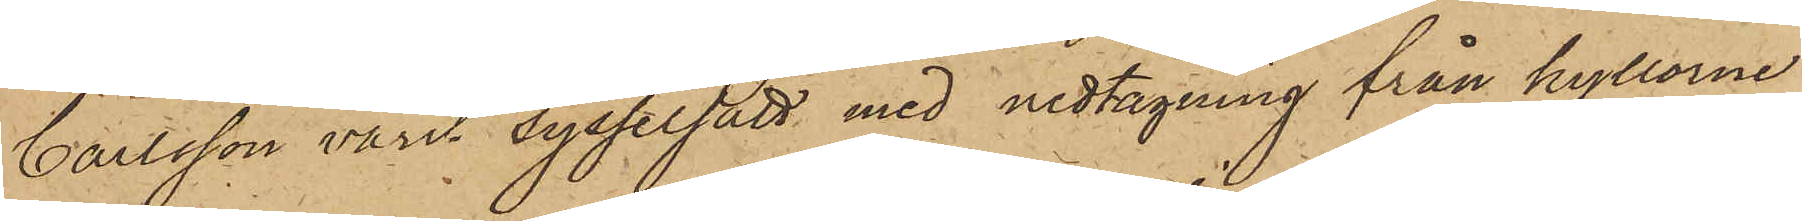Carlsson varit sysselsatt med nedtagning från hyllarne
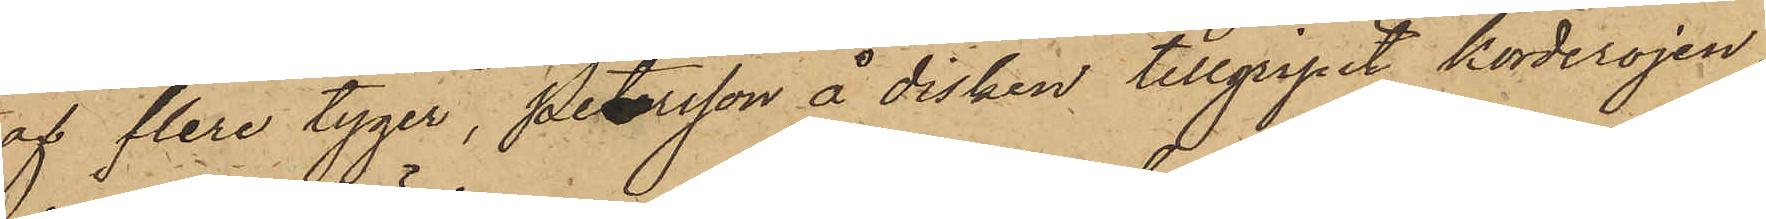af flera tyger, Petersson å disken tillgripit korderojen,
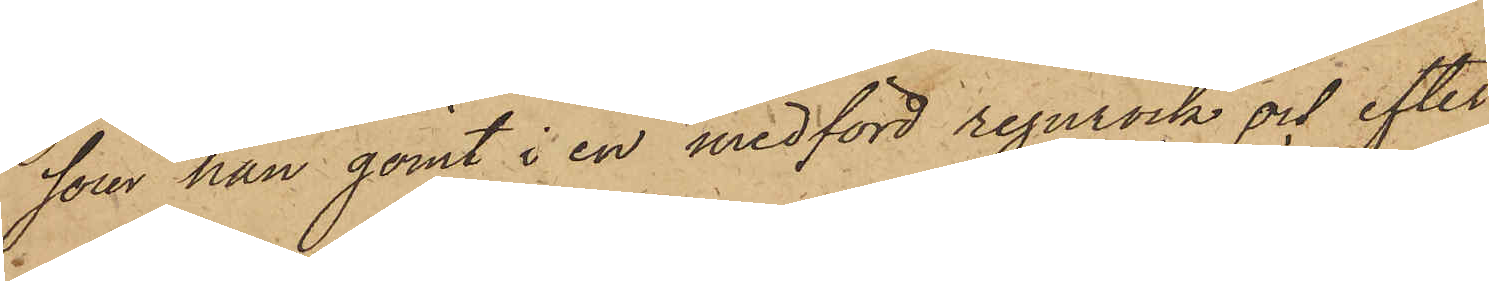som han gömt i en medförd regnrock och efter
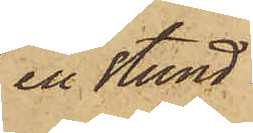en stund
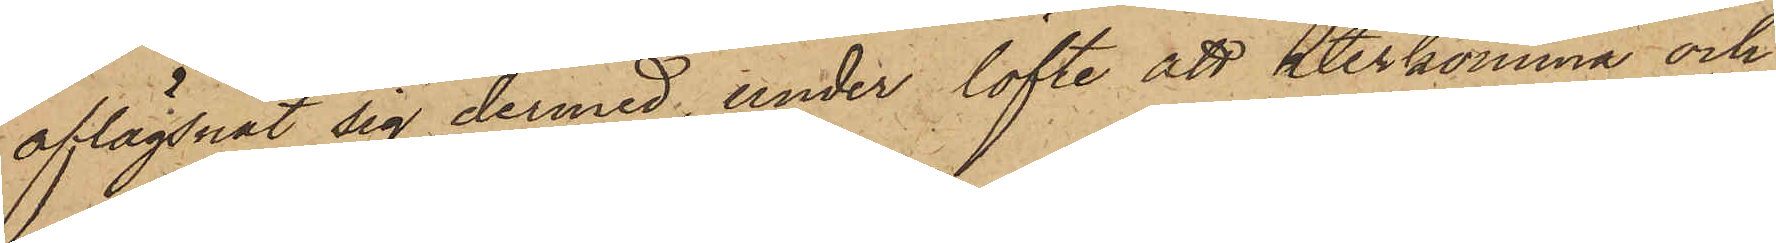aflägsnat sig dermed, under löfte att återkomma och
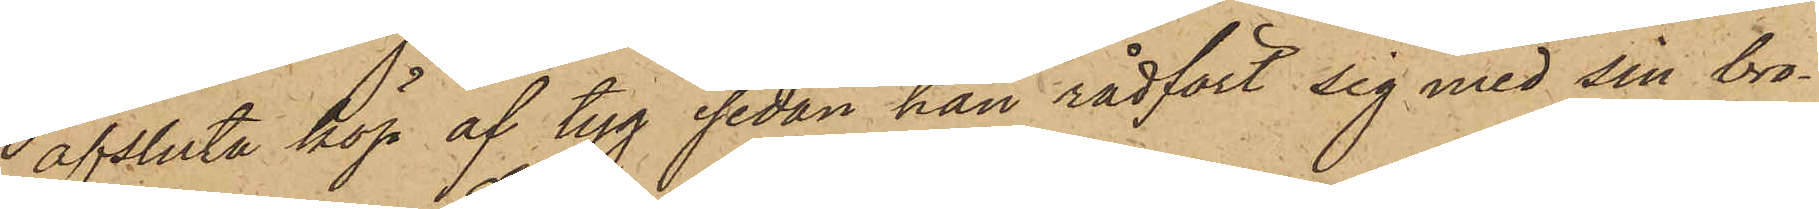afsluta köp af tyg sedan han rådfört sig med sin bro¬
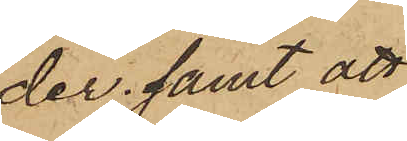der; samt att
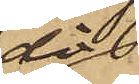då
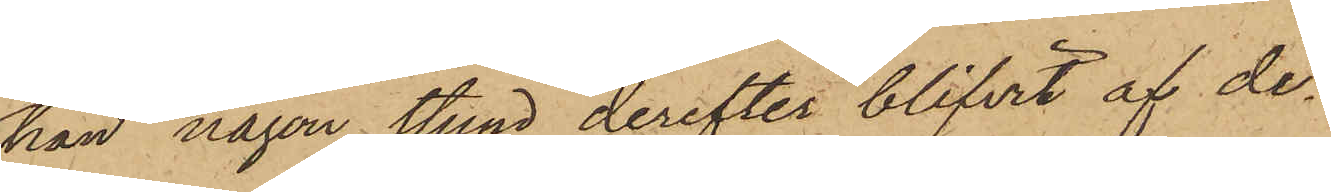han någon stund derefter blifvit af de¬
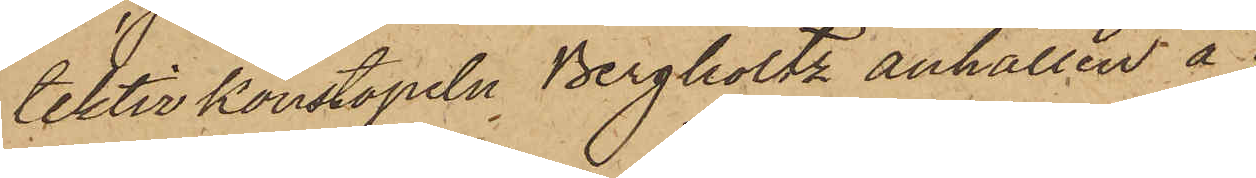tektivkonstapeln Bergholtz anhållen å
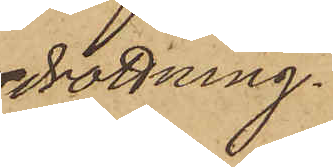drottning¬
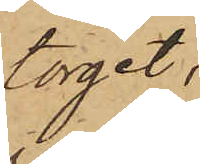torget,
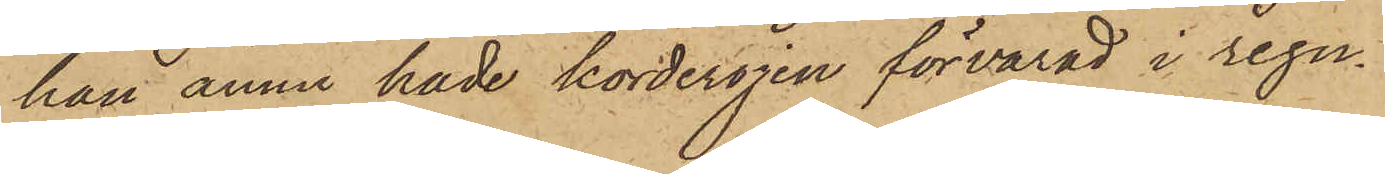han ännu hade korderojen förvarad i regn¬
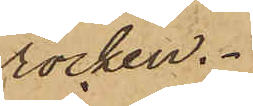rocken.
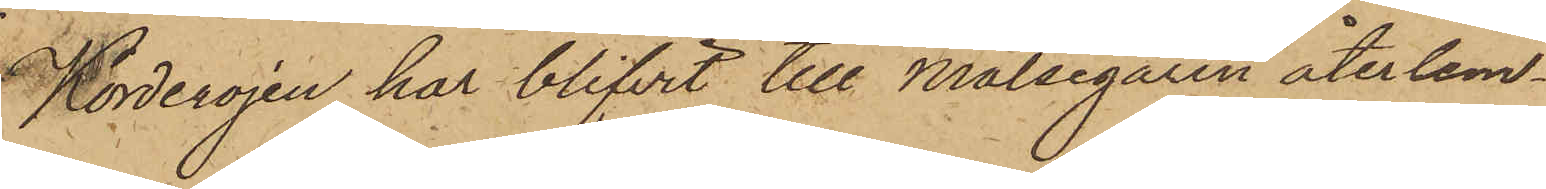Korderojen har blifvit till Målsegaren återlem¬
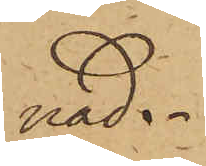nad.
